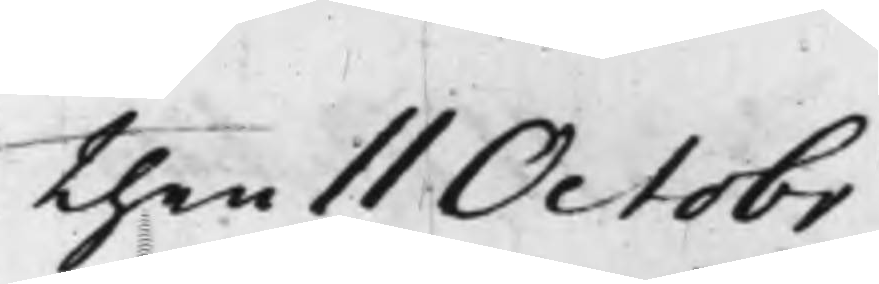then 11 Octobr
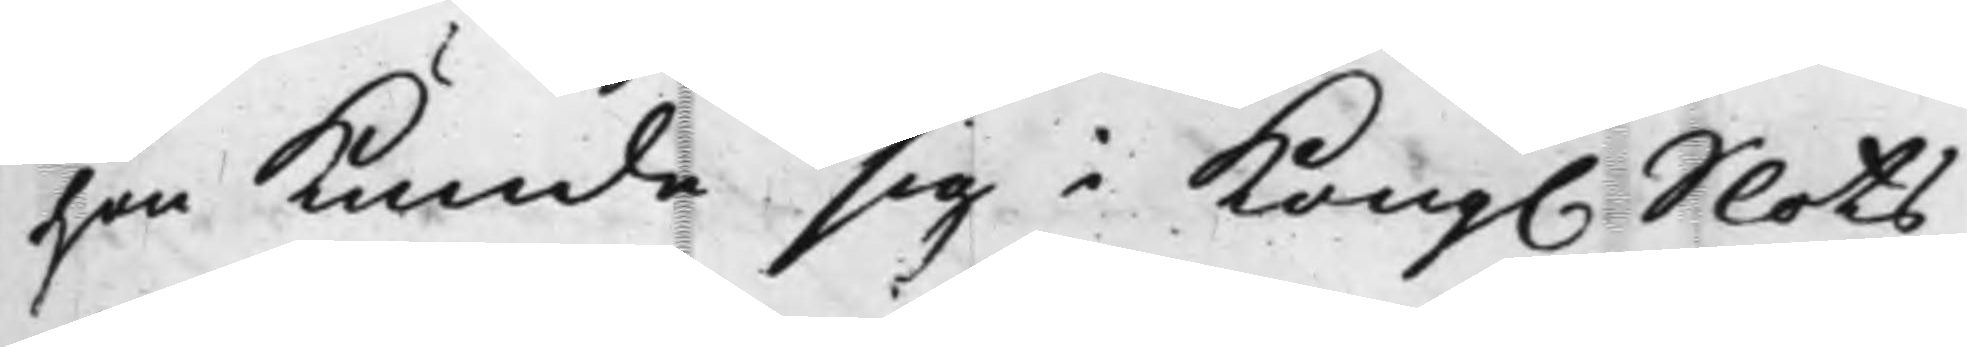hon kunde sig i Kong. Slots¬
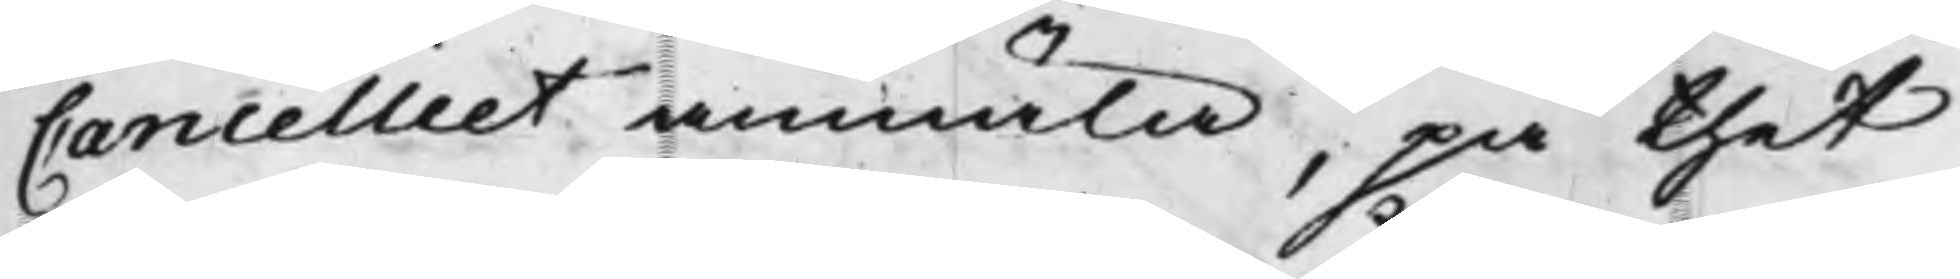Cancelliet anmäla, på thet
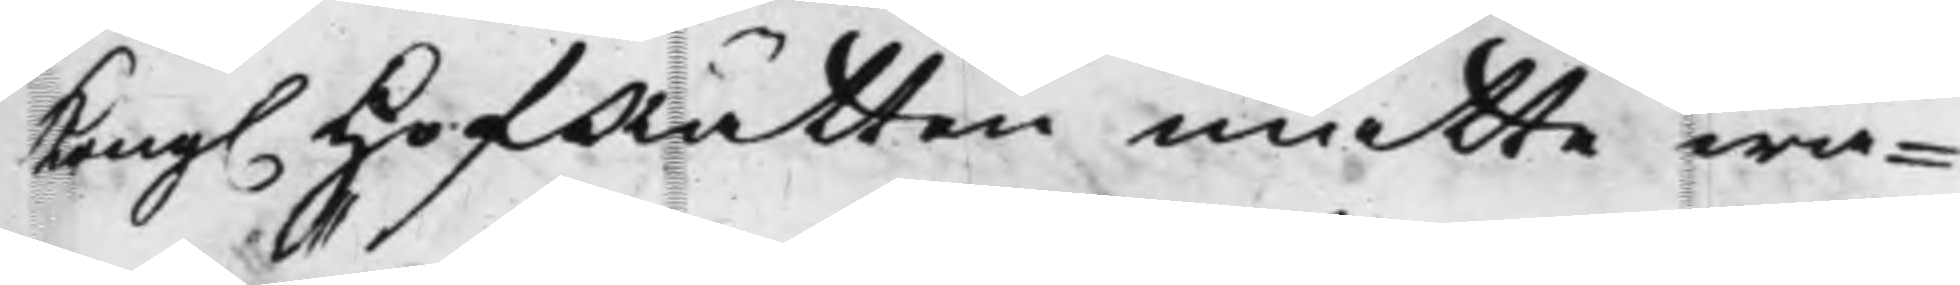Kong. HofRätten måtte wa¬
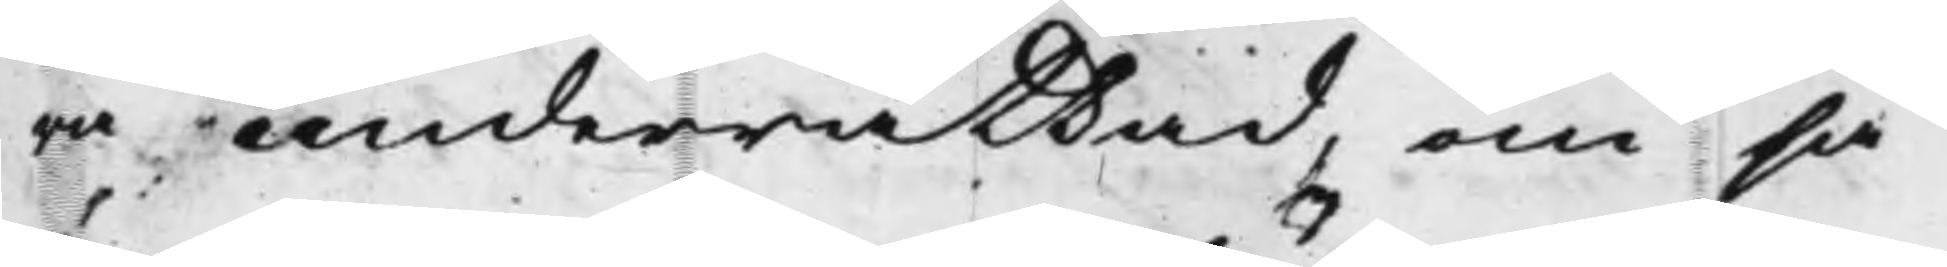ra underrättad, om så
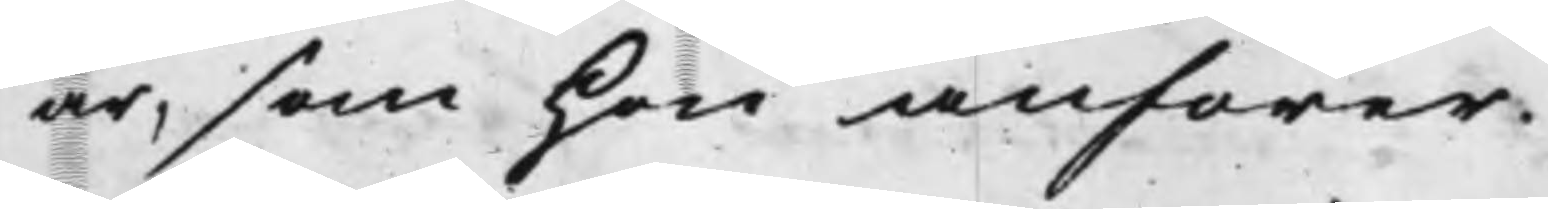är, som hon anförer.
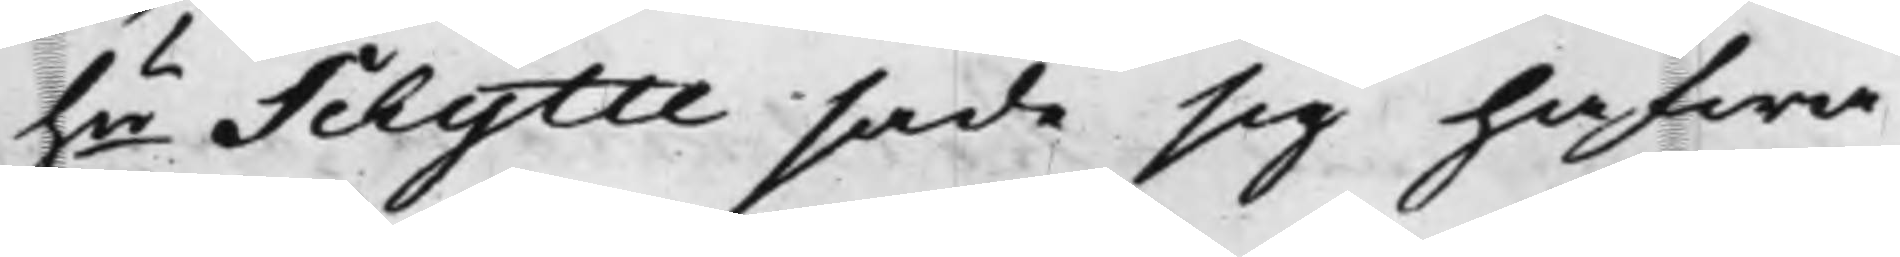hu Schytte sade sig hafwa
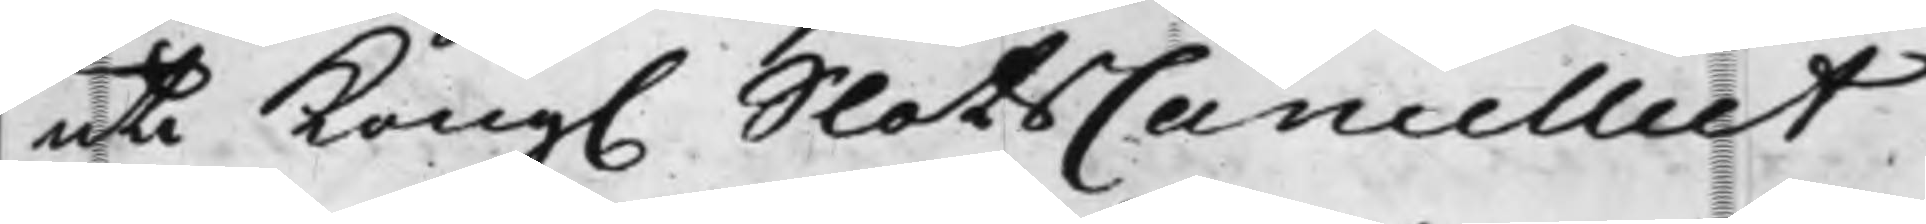uti Kong. SlotsCancelliet
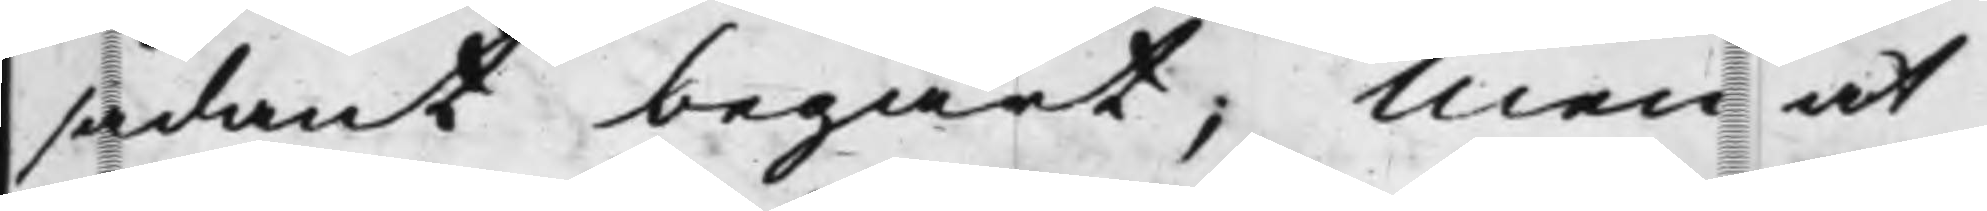sådant begärt; Men at
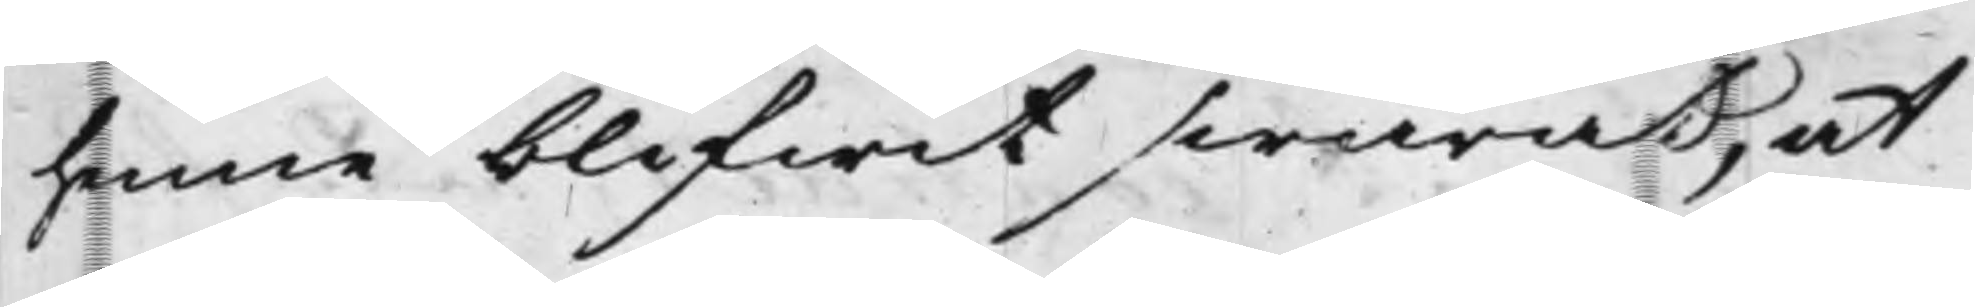henne blifwit swarat, at
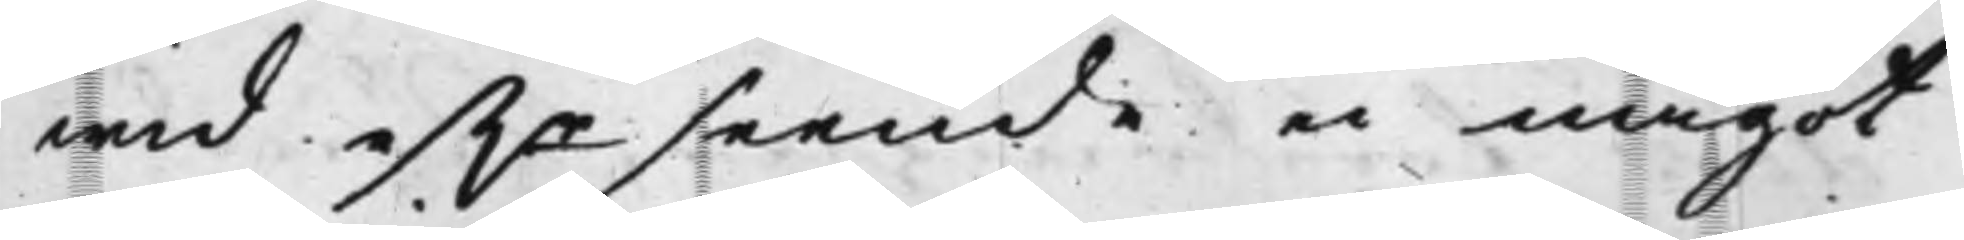wid eftr seende ei något
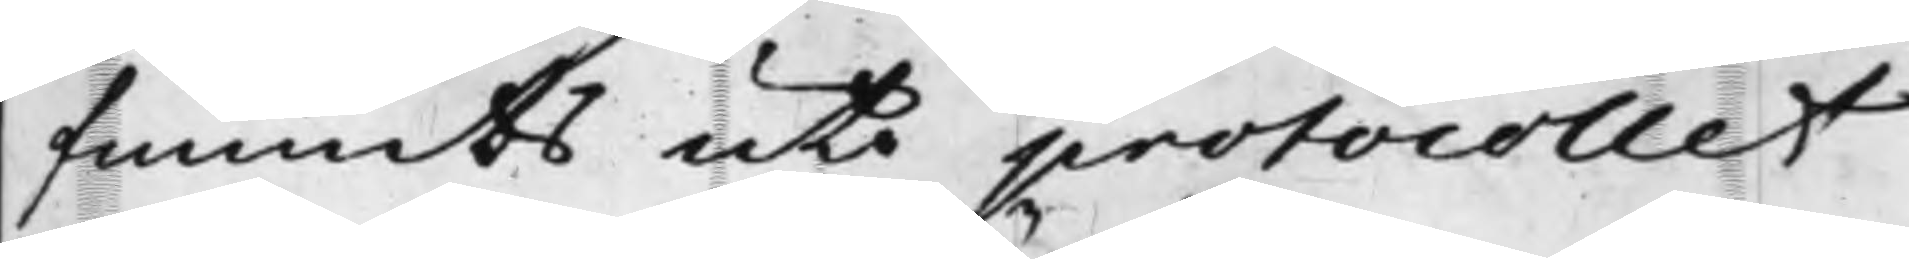funnits uti protocollet
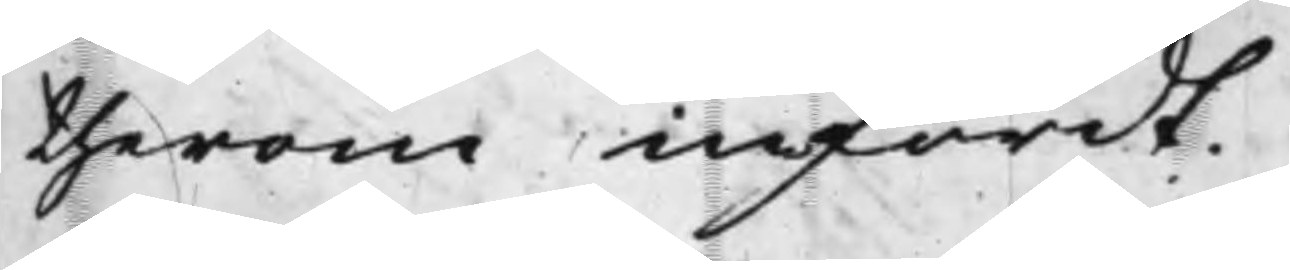therom infördt.
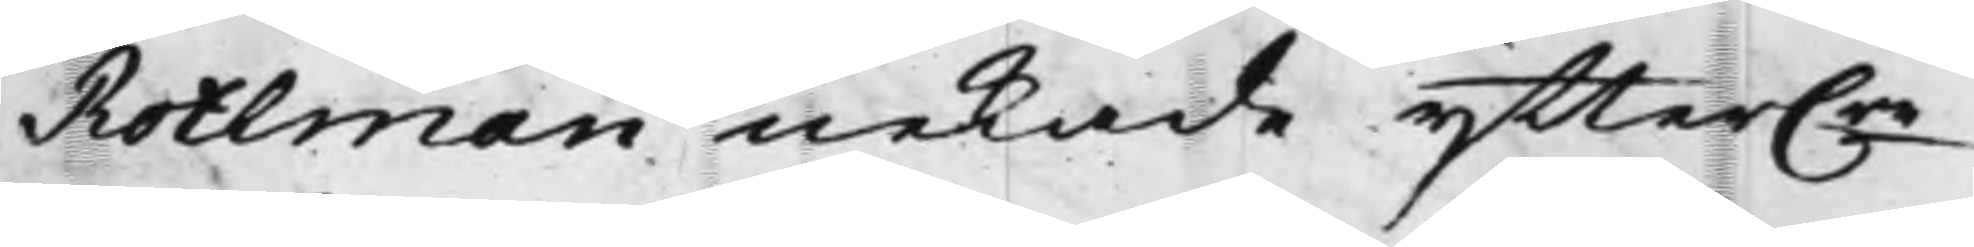Rotlman nekade ytter.re
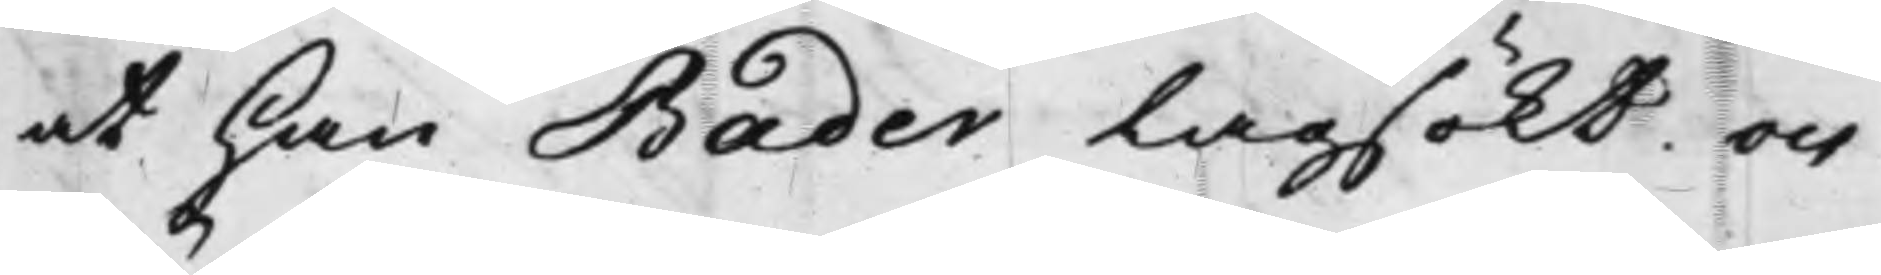at han Bader Lagsökt och
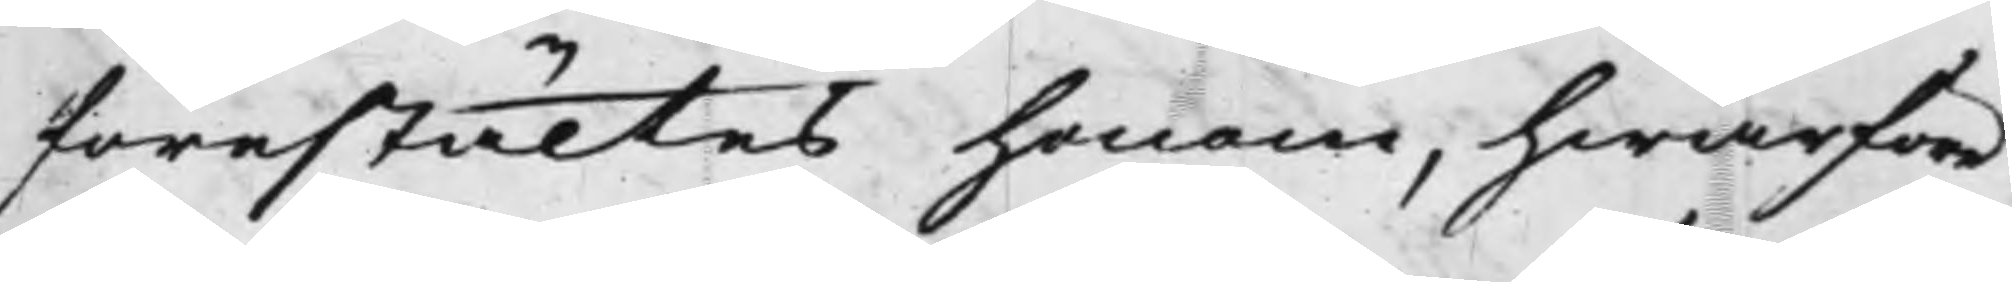förestältes honom, hwarföre
